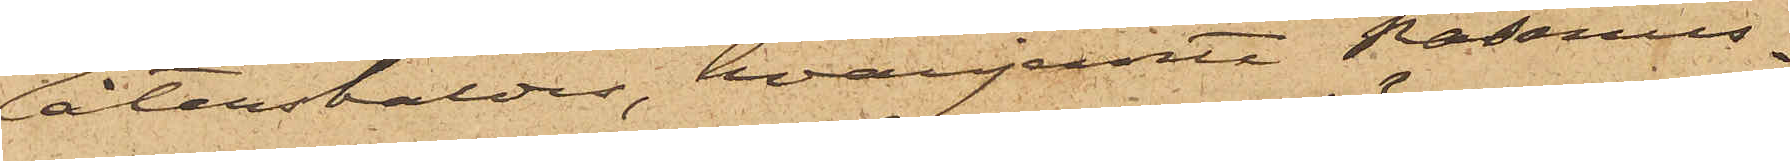återstäldes, hvarjemte Rasmus¬
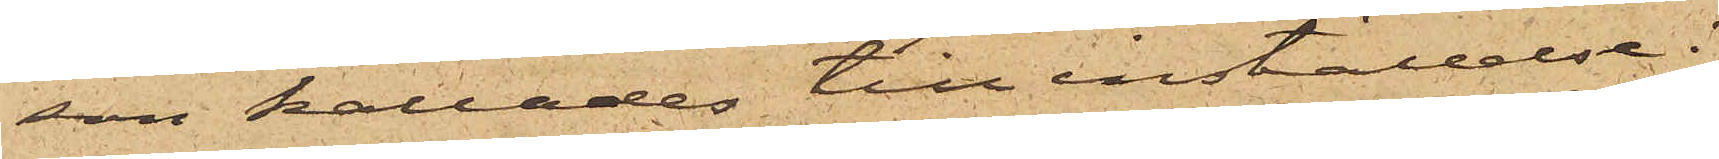son kallades till inställelse i
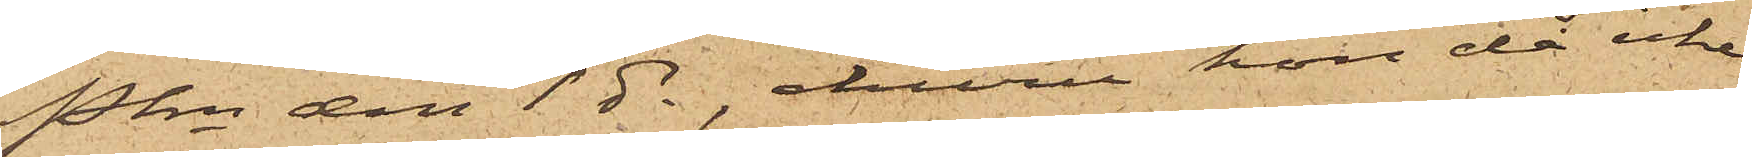Pkn den 1 ds, ehuru hon då icke
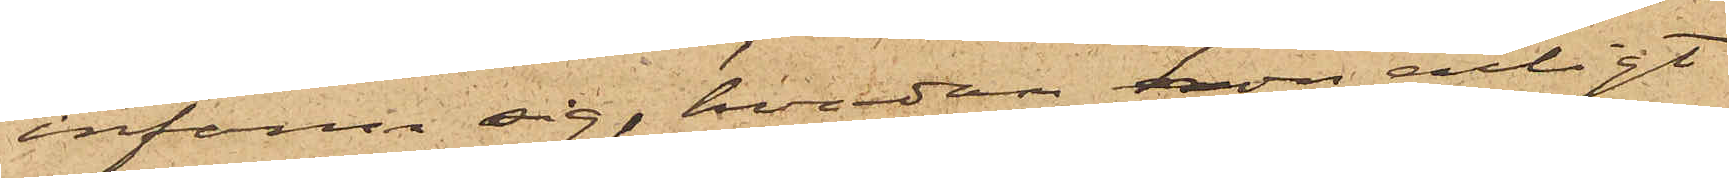infann sig, hvadan hon enligt
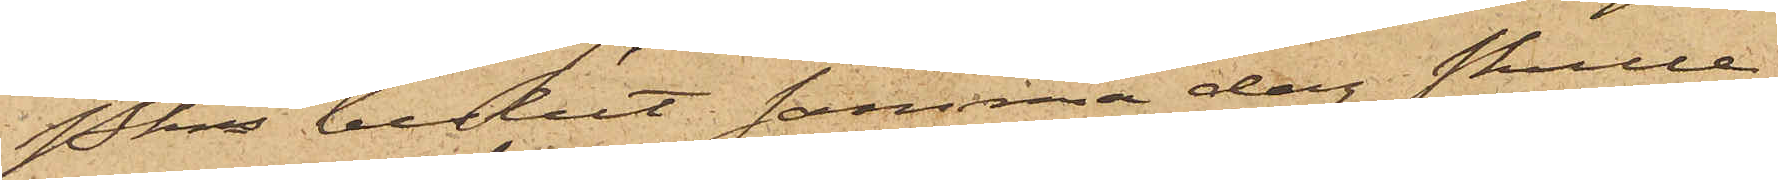Pkns beslut samma dag skulle
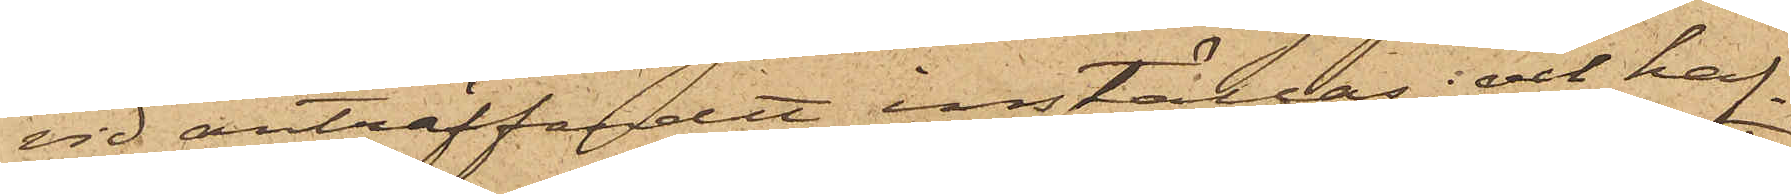vid anträffandet inställas; och haf¬
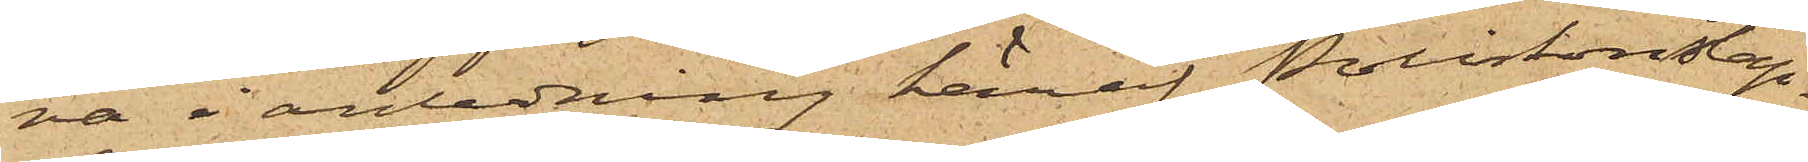va i anledning häraf Poliskonstap¬
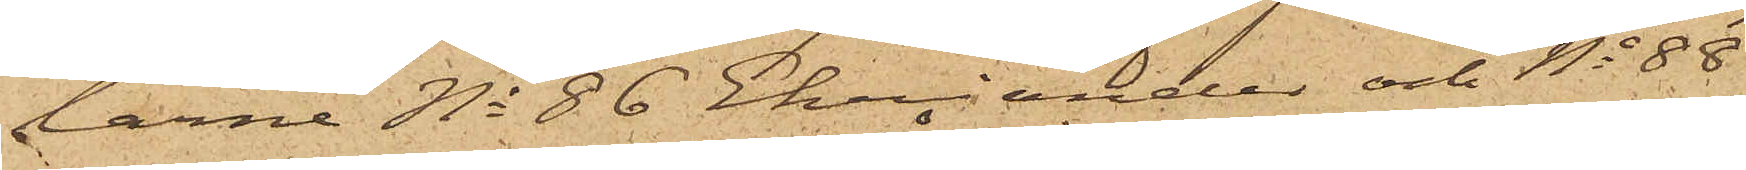larne No 86 Ehriander och No 88
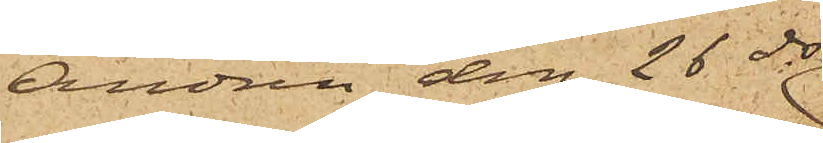Andrén den 26 ds
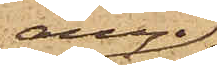ånyo
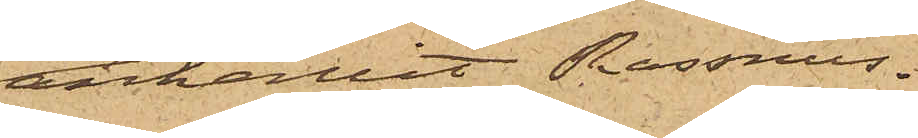anhållit Rasmus¬
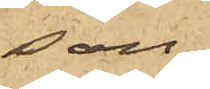son,
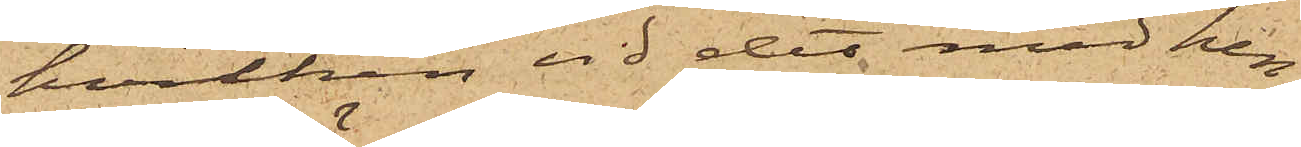hvilken vid det med hen¬
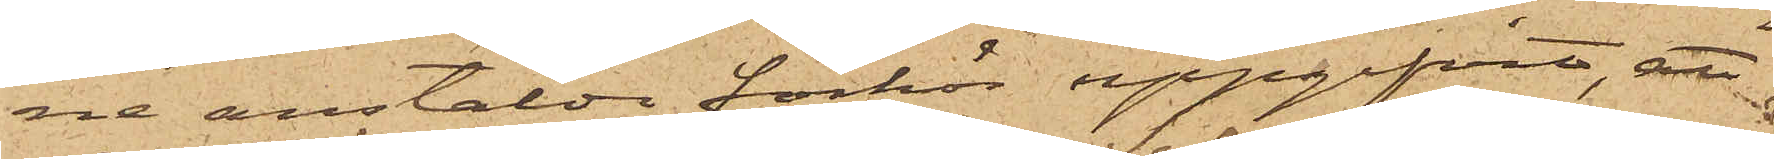ne anstälda förhör uppgifvit, att
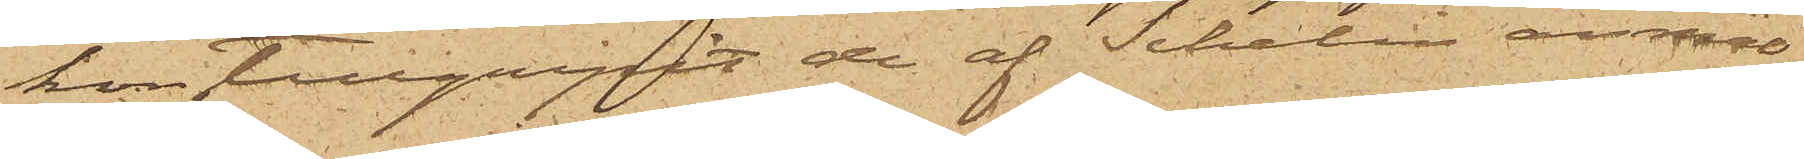hon tillgripit de af Schelin anmäl¬
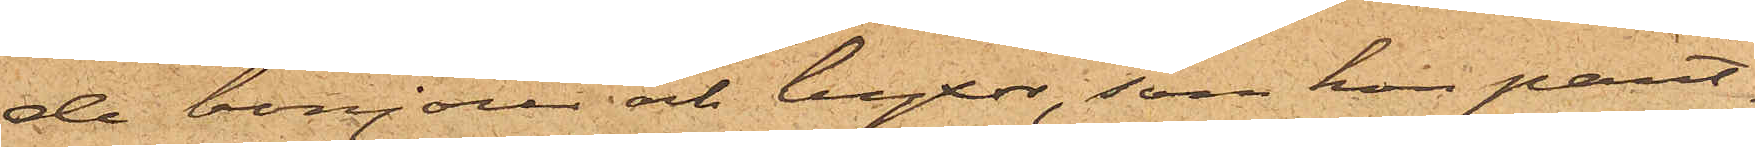de bonjour och byxor, som hon pant¬
